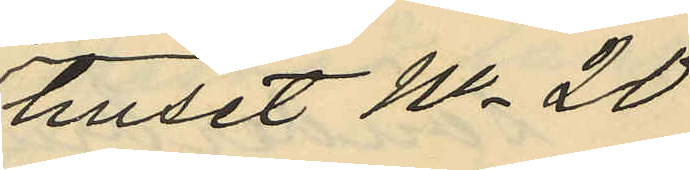huset No 20
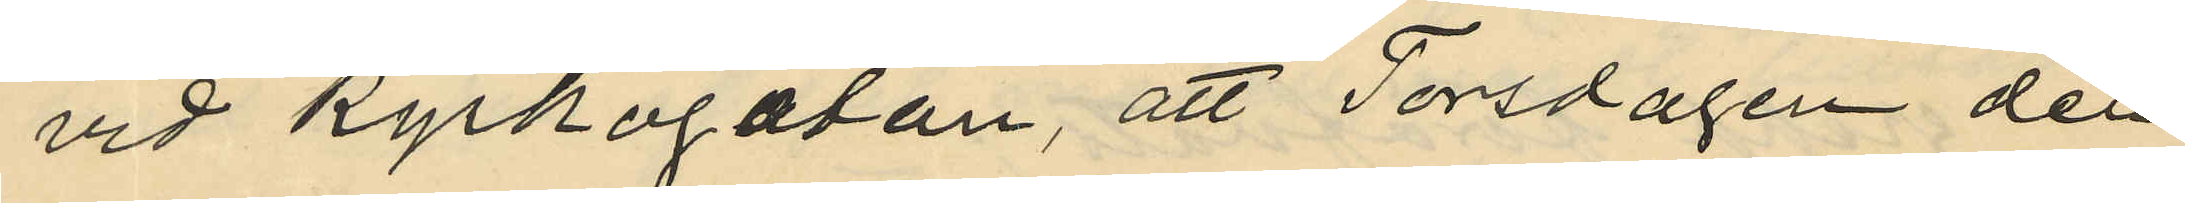vid Kyrkogatan, att Torsdagen den
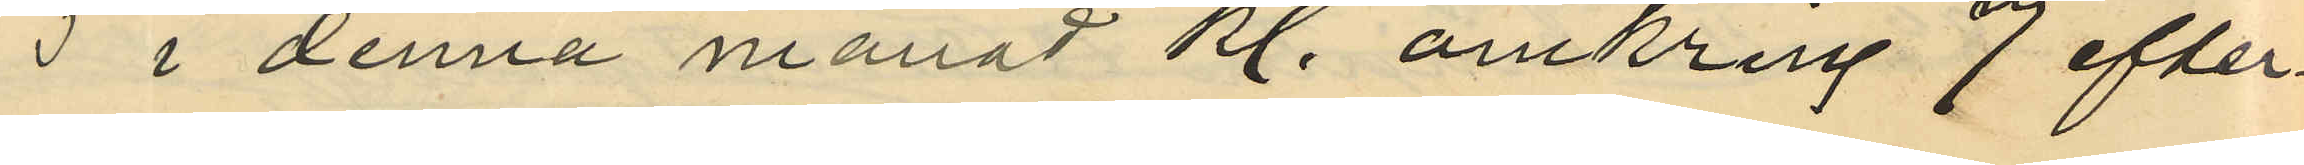5 i denna månad kl. omkring 7 efter¬
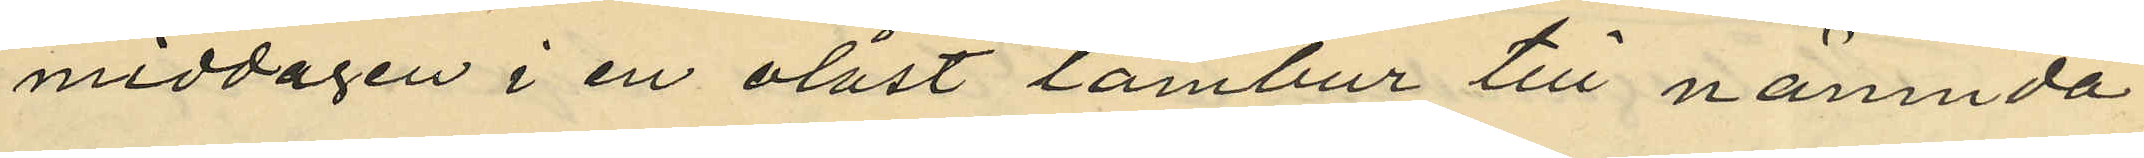middagen i en olåst tambur till nämnda
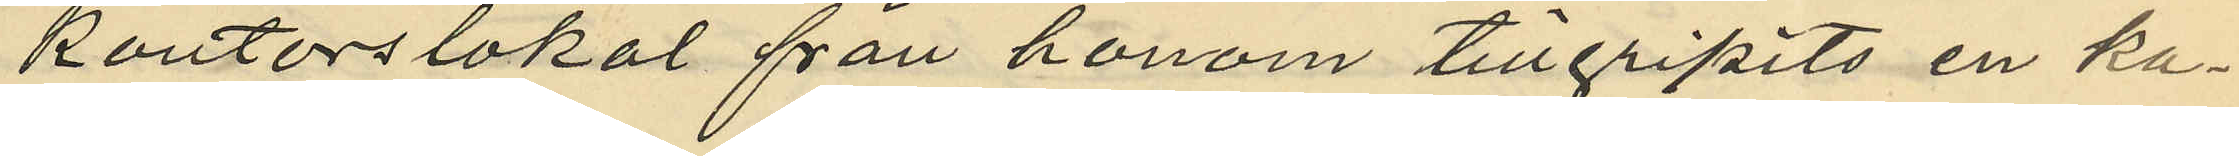kontorslokal från honom tillgripits en ka¬
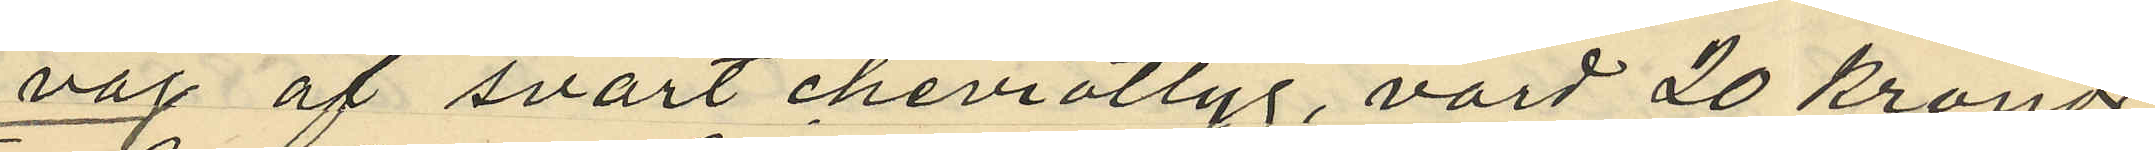vaj af svart cheviottyg, värd 20 kronor
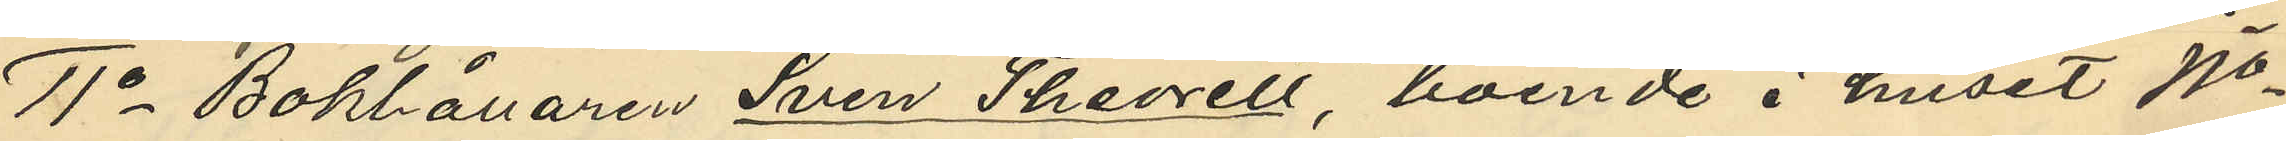11o Boklånaren Sven Theorell boende i huset No
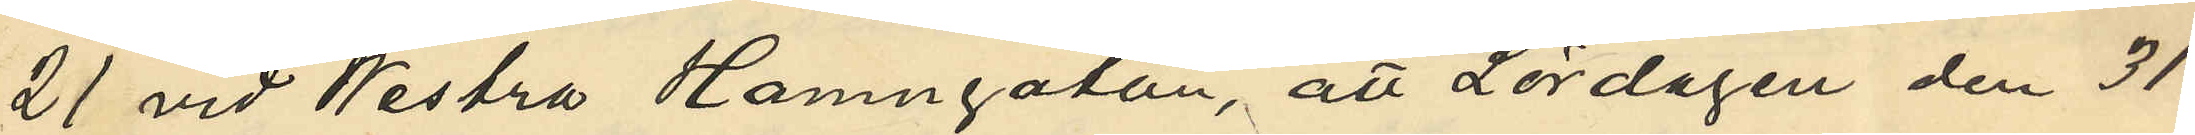21 vid Westra Hamngatan, att Lördagen den 31
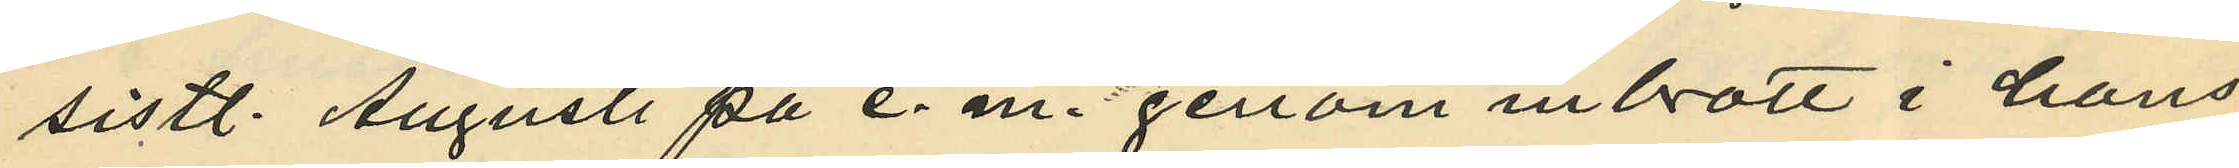sistl. Augusti på e. m. genom inbrott i hans
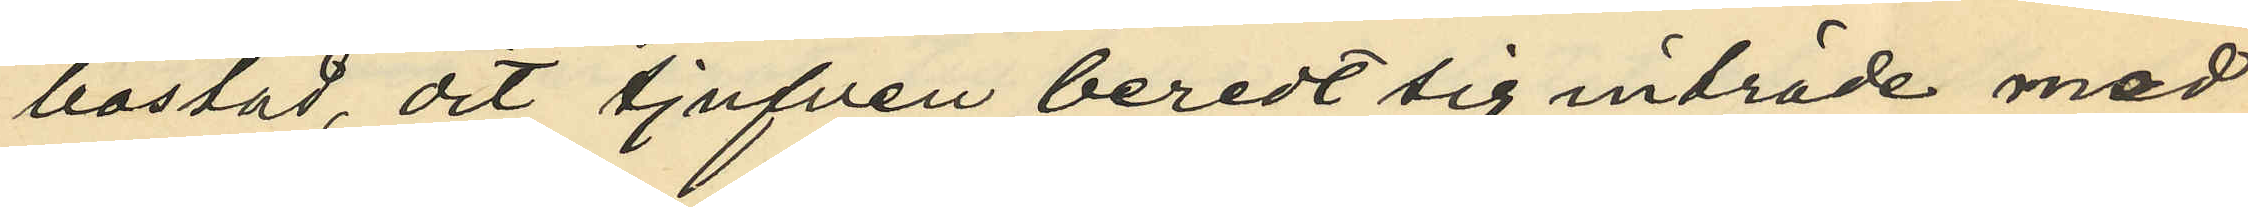bostad, dit tjufven beredt sig inträde med
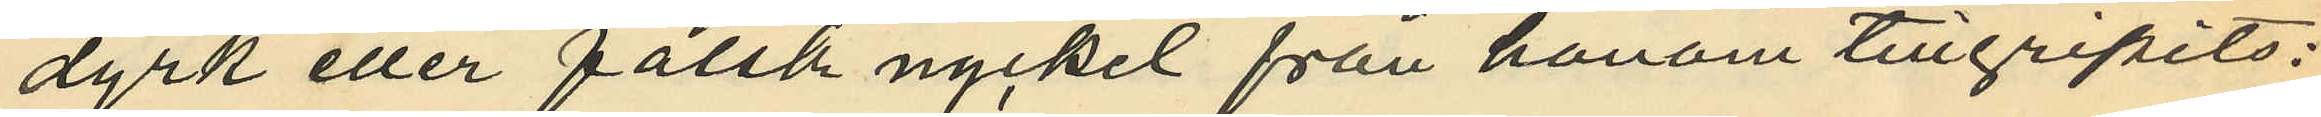dyrk eller falsk nyckel från honom tillgripits:
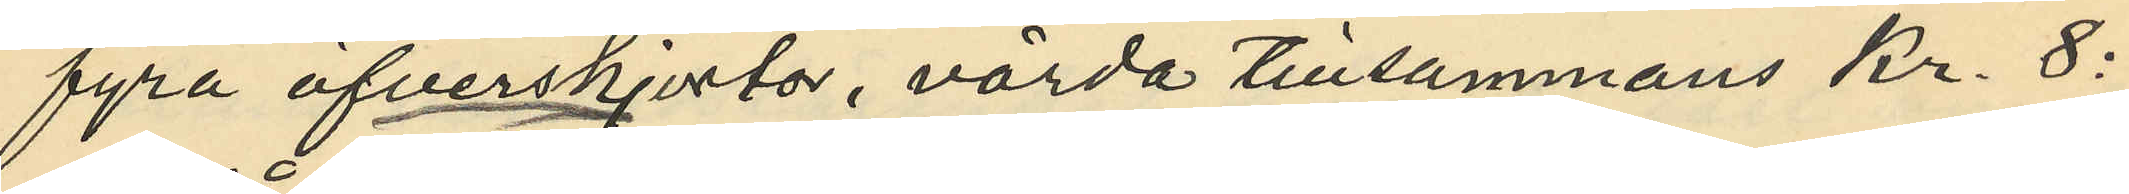fyra öfverskjorta, värda tillsammans kr. 8:
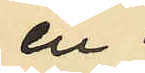en
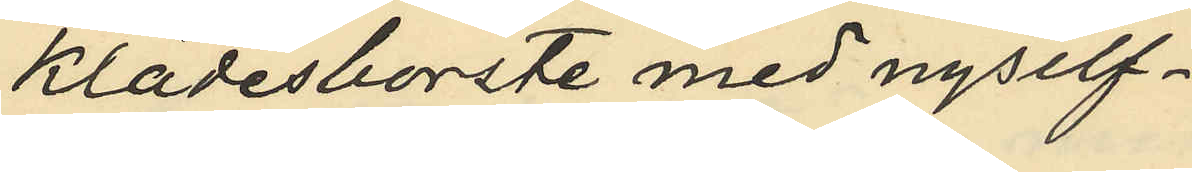klädesborste med nysilf¬
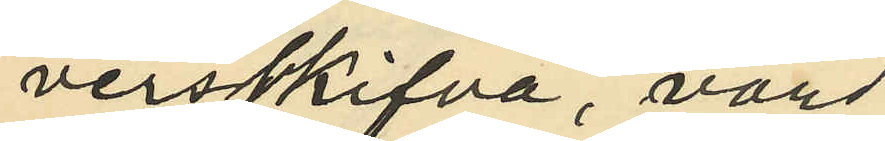versskifva, värd
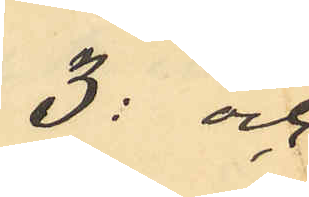3: och
